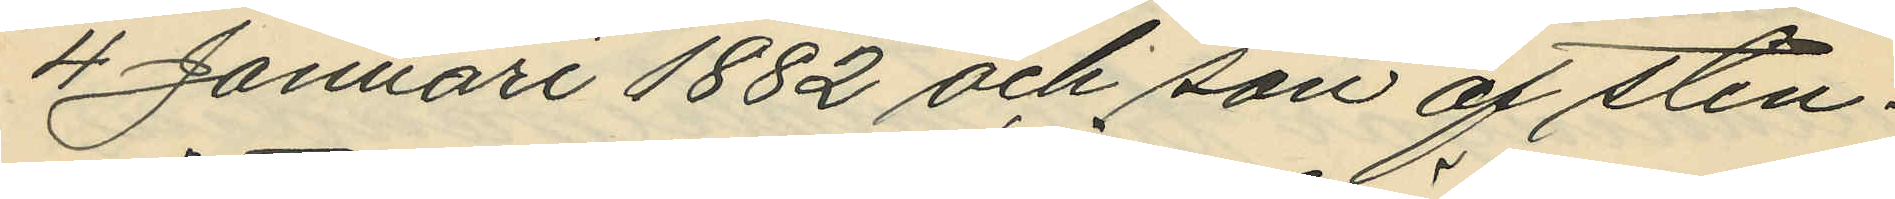4 Januari 1882 och son af sten¬
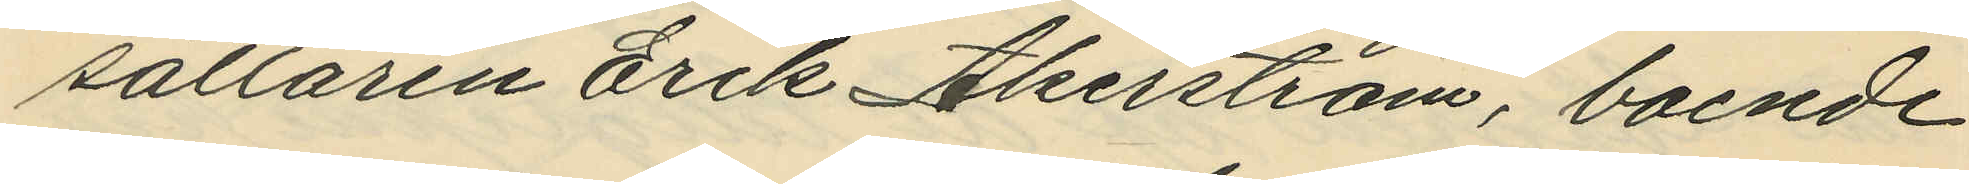sättaren Erik Åkerström, boende
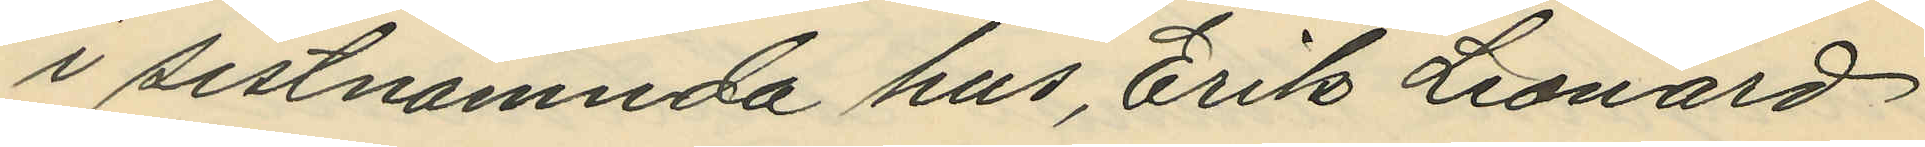i sistnämnda hus, Erik Leonard
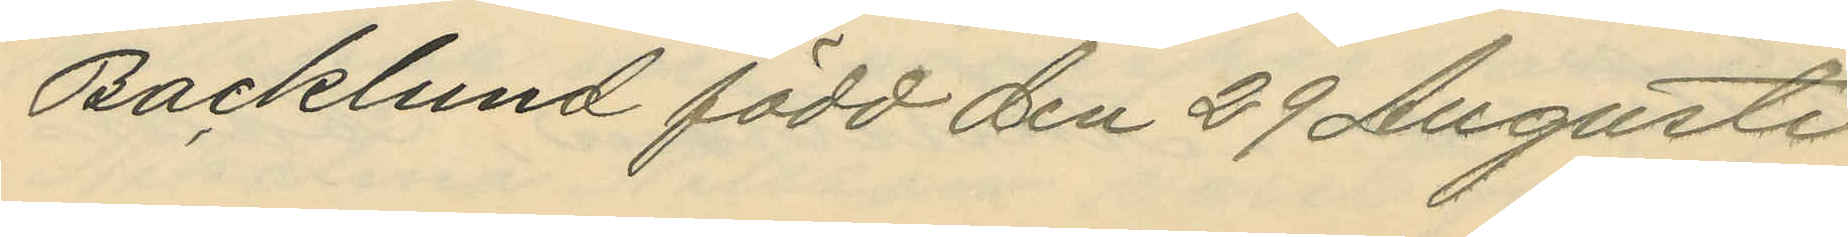Backlund född den 29 Augusti
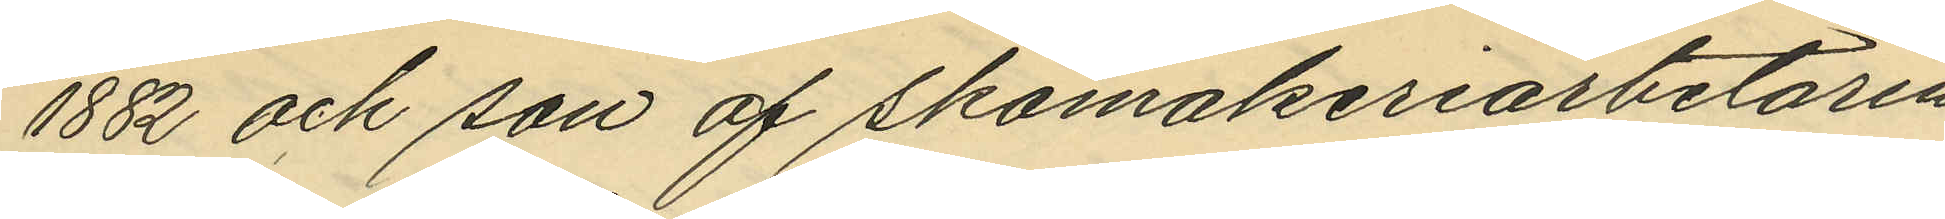1882 och son af skomakeriarbetaren
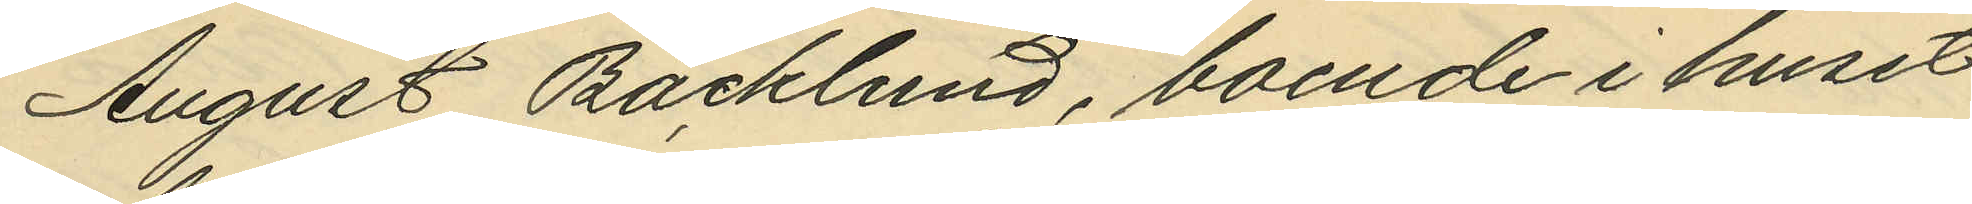August Backlund, boende i huset
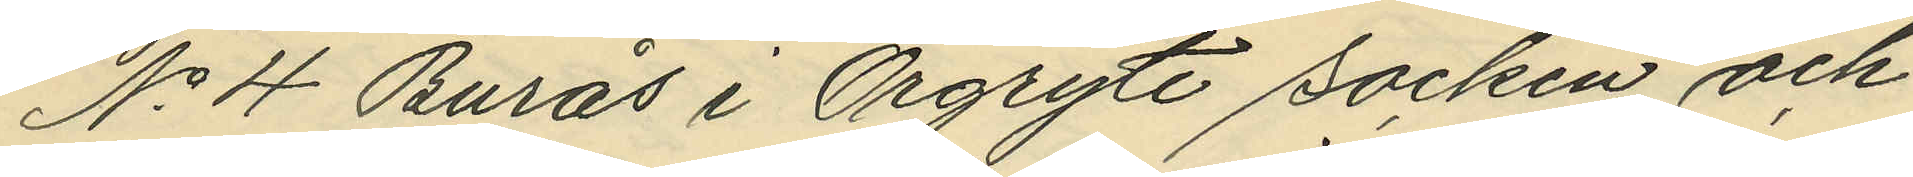No 4 Burås i Örgryte socken och
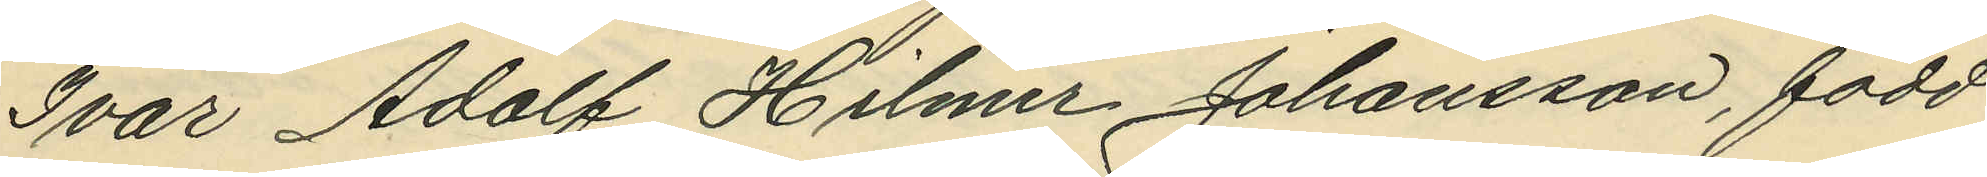Ivar Adolf Hilmer Johansson, född
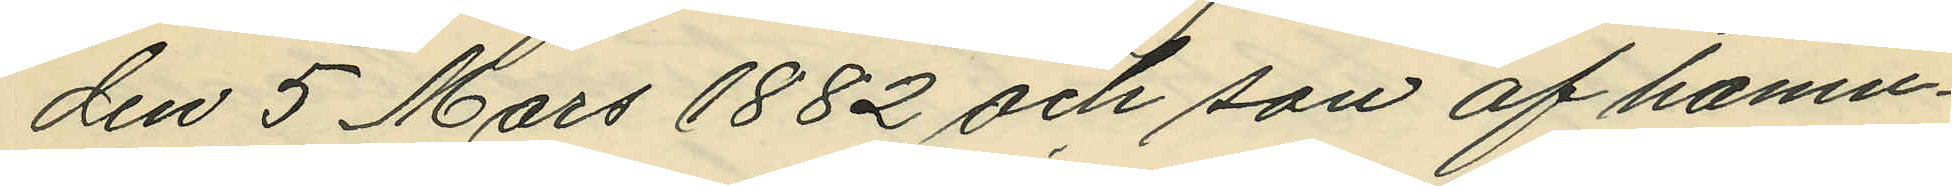den 5 Mars 1882 och son af hamn¬
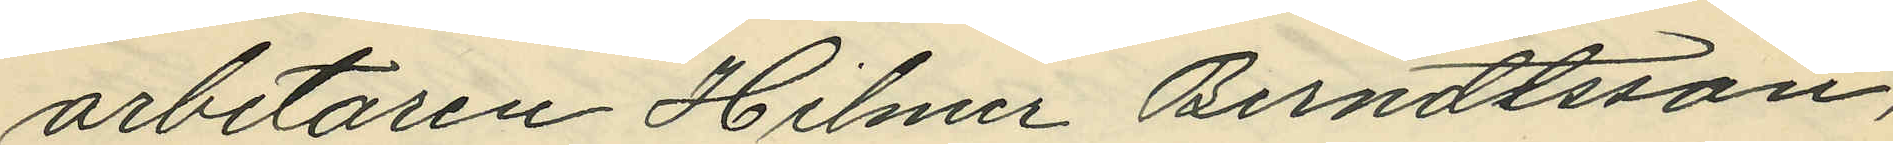arbetaren Hilmer Berndtsson,
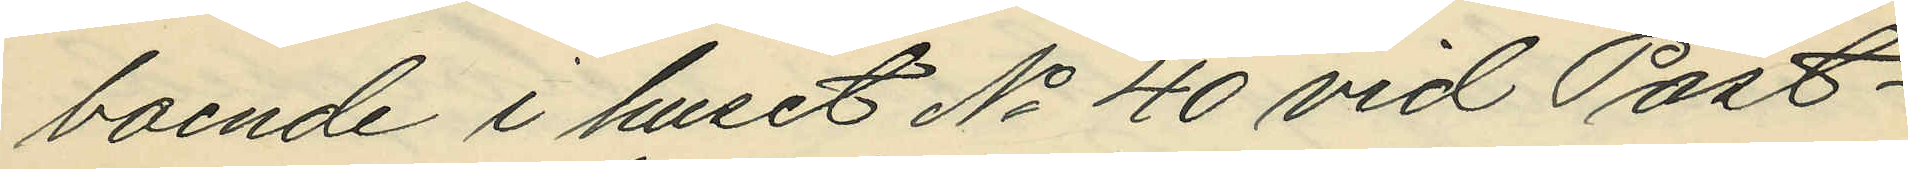boende i huset No 40 vid Post¬
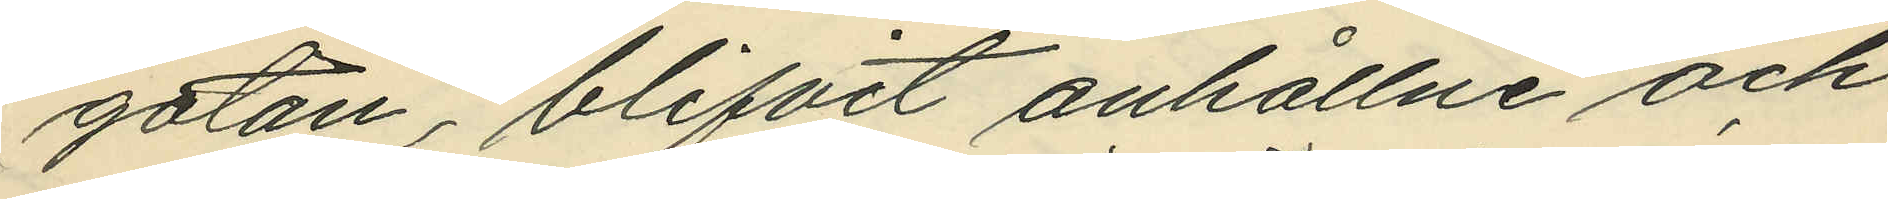gatan, blifvit anhållne och
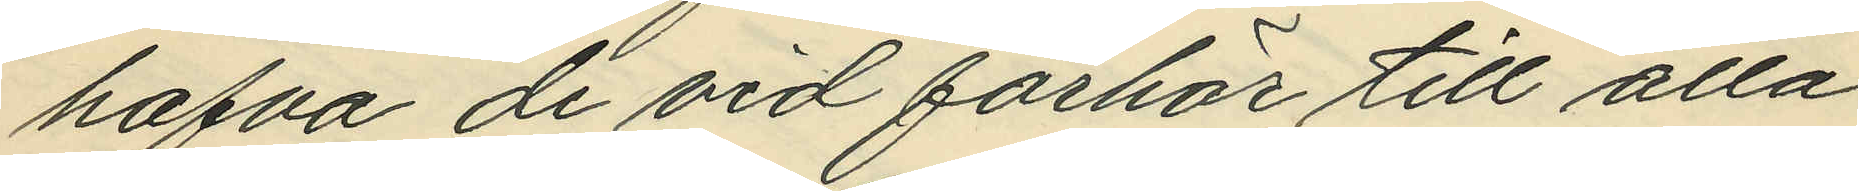hafva de vid förhör till alla
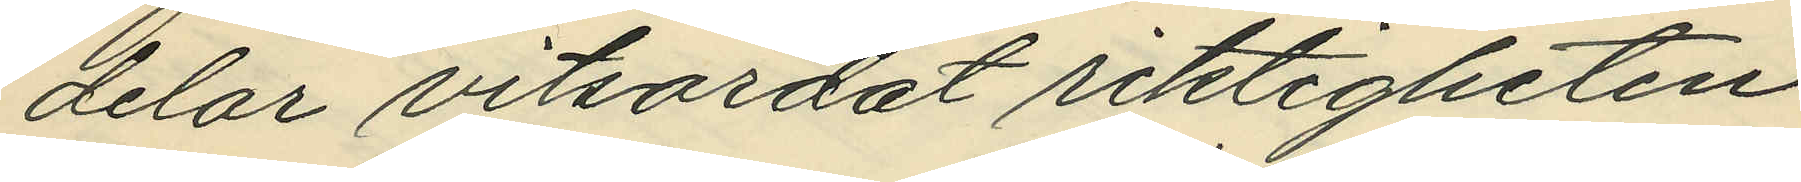delar vitsordat riktigheten
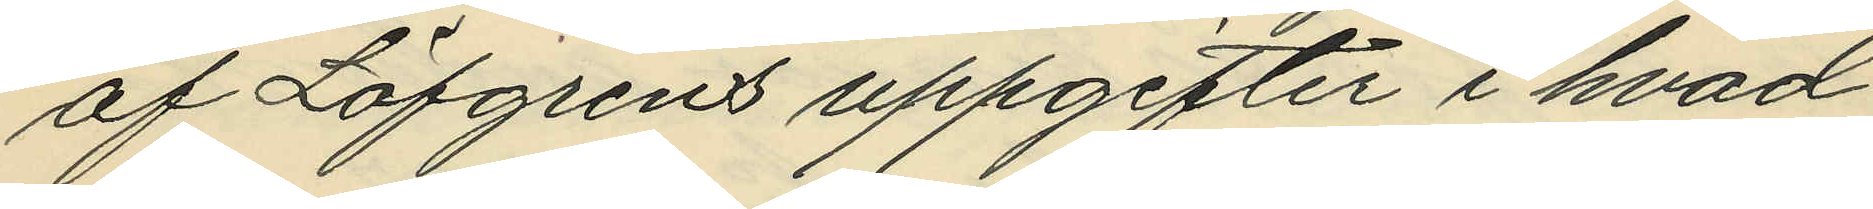af Löfgrens uppgifter i hvad
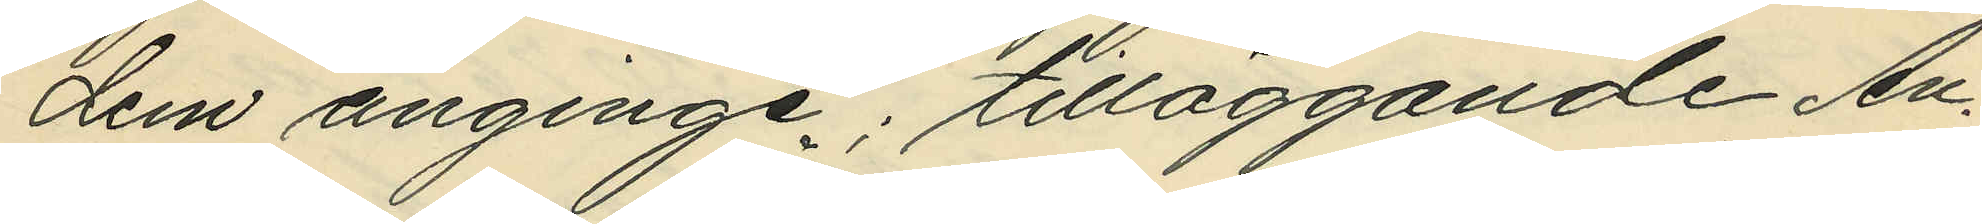dem anginge; tilläggande An¬
